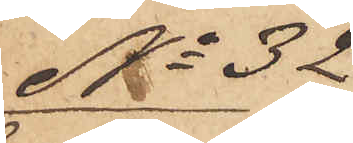No 32
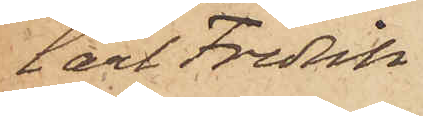Carl Fredrik
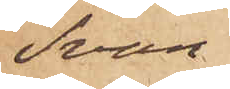Svan
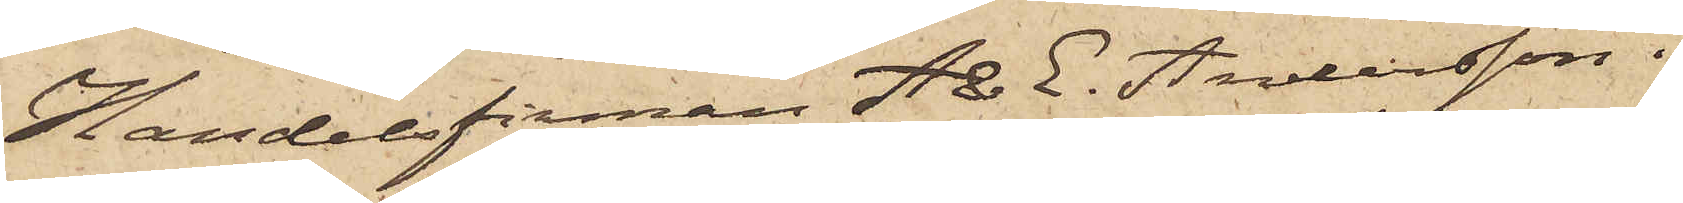Handelsfirman A & E Andersson i
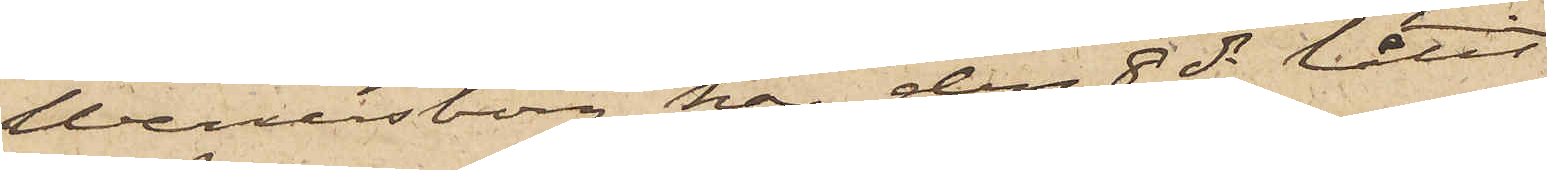Wenersborg har den 8 ds låtit
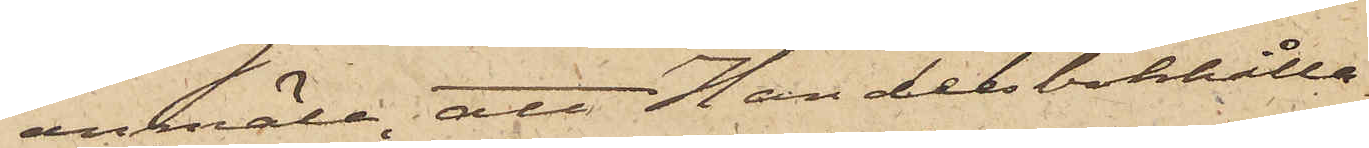anmäla, att Handelsbokhålla¬
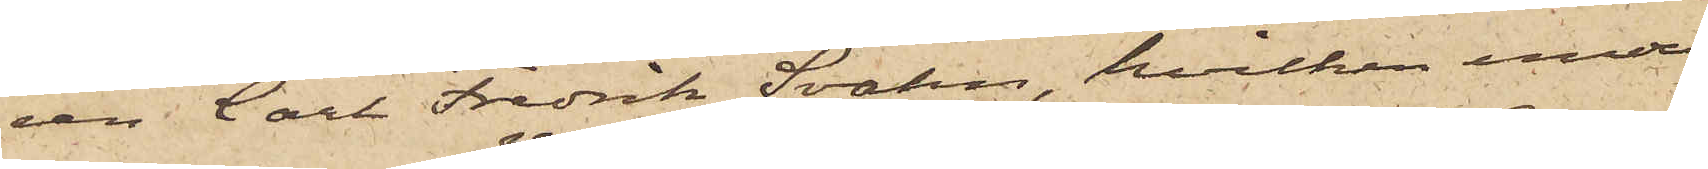ren Carl Fredrik Svahn, hvilken under
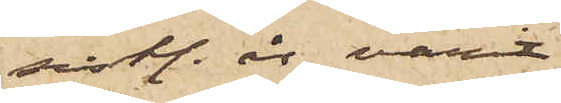sist. år varit
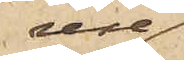rese¬
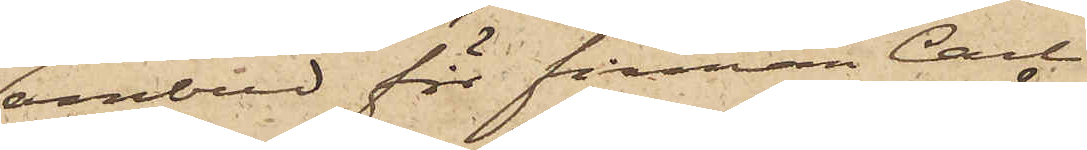ombud för firman Carl
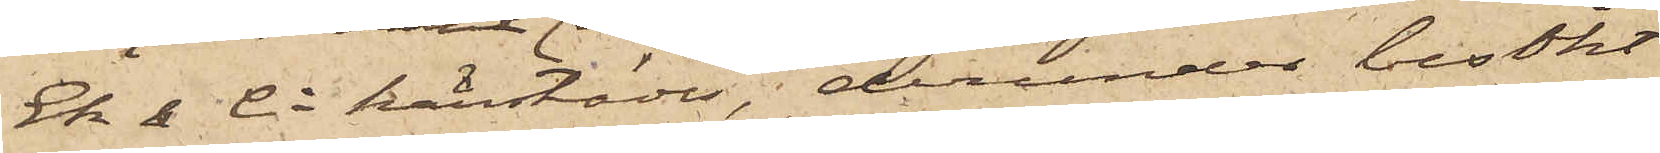Ek & Co härstädes, derunder besökt
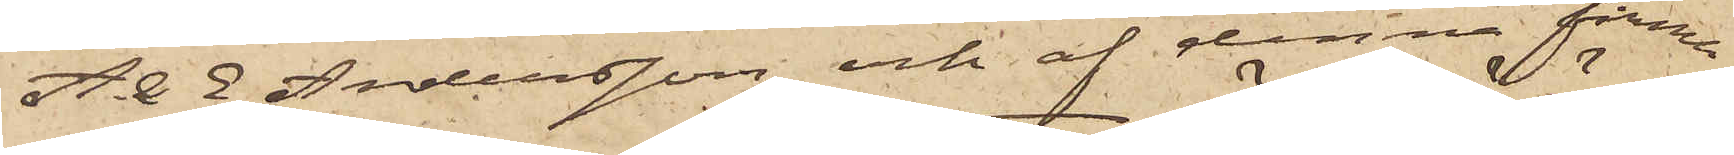A & E Andersson och af denna firma
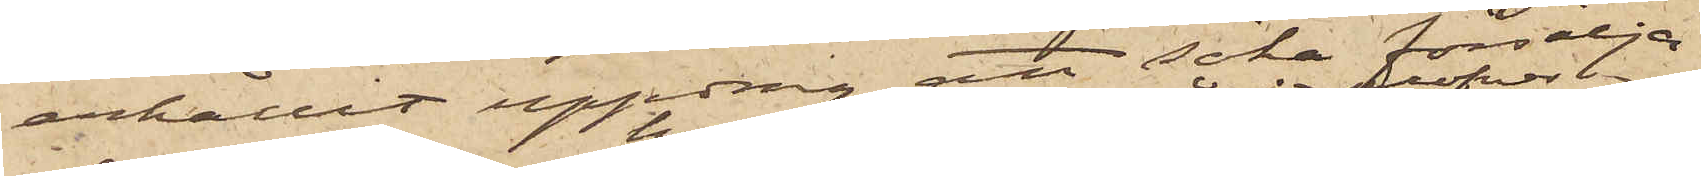erhållit uppdrag att söka försälja
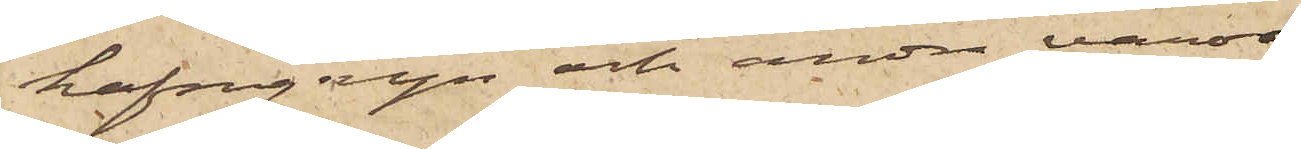hafregryn och andra varor
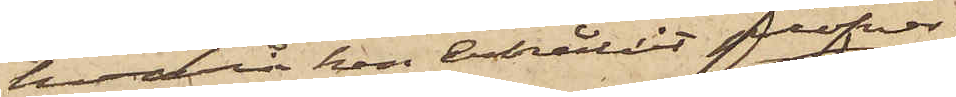hvarå han erhållit profver;
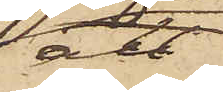att
